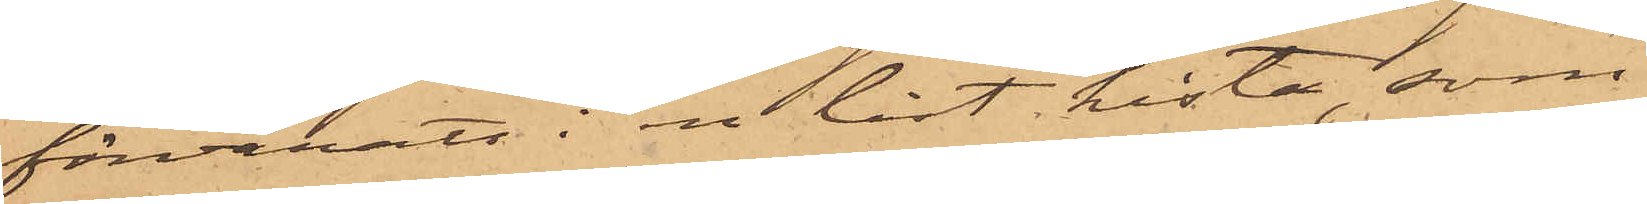förvarats i en låst kista, som
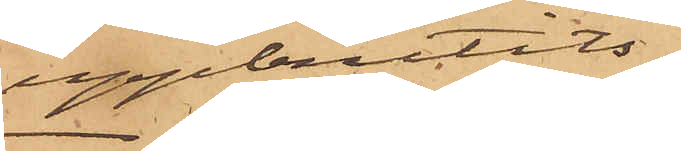uppbrutits.
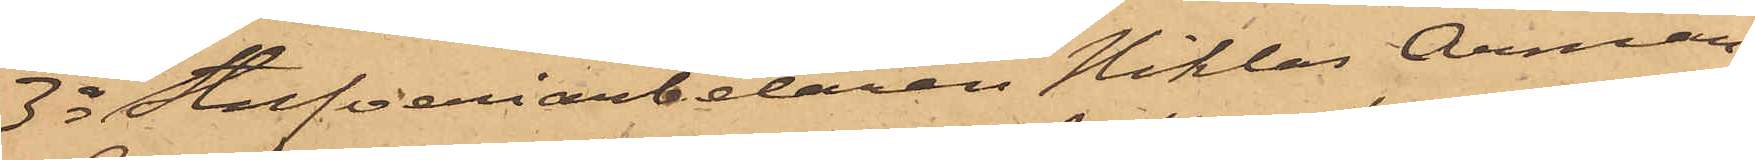3o Stufveriarbetaren Niklas Årman,
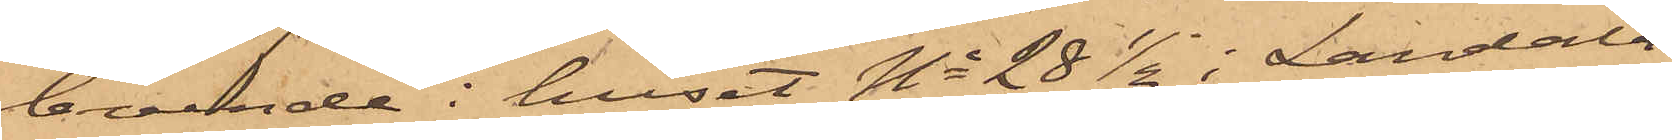boende i huset No 28 1/2 i Landala¬
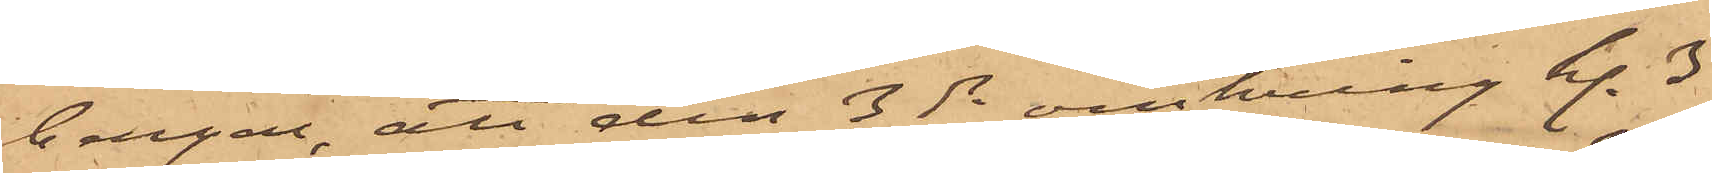bergen, att den 3 ds omkring kl. 3
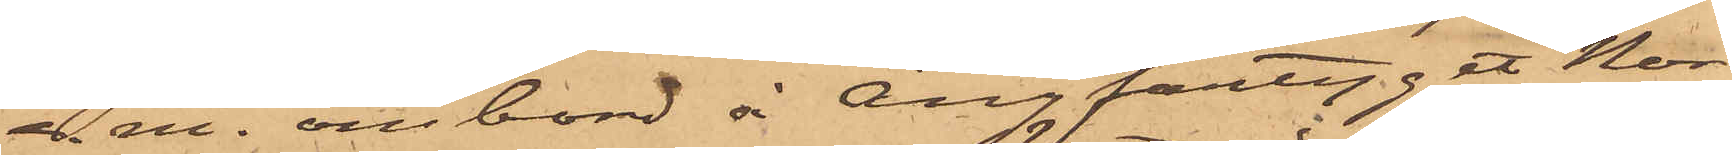e.m. ombord å ångfartyget Nor¬
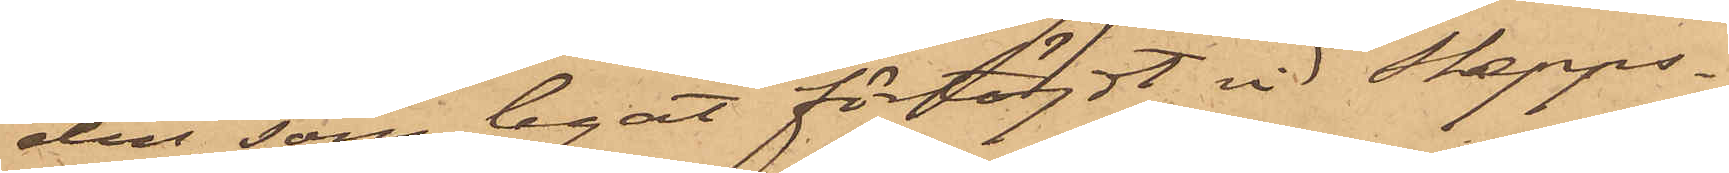den, som legat förtöjdt vid Skepps¬
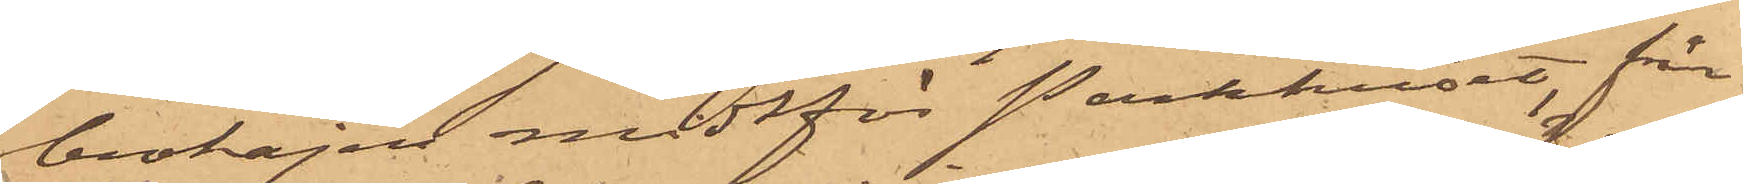brokajen nedtför Packhuset, från
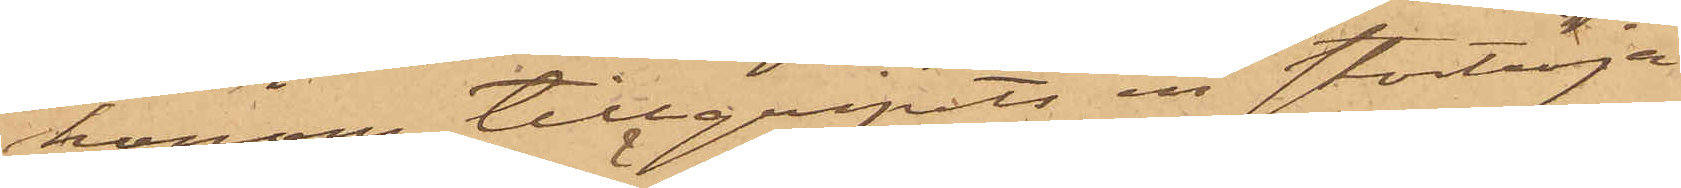honom tillgripits en stortröja
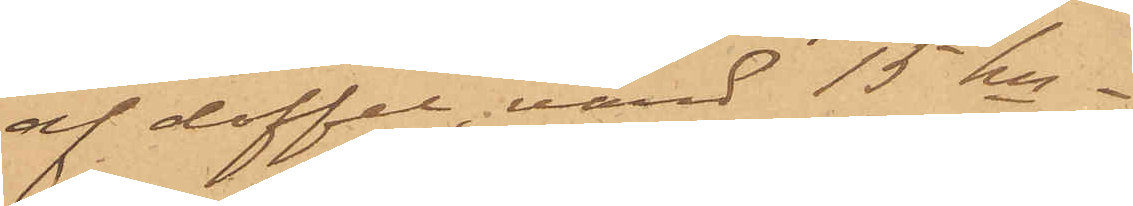och doffel, värd 15 kr.
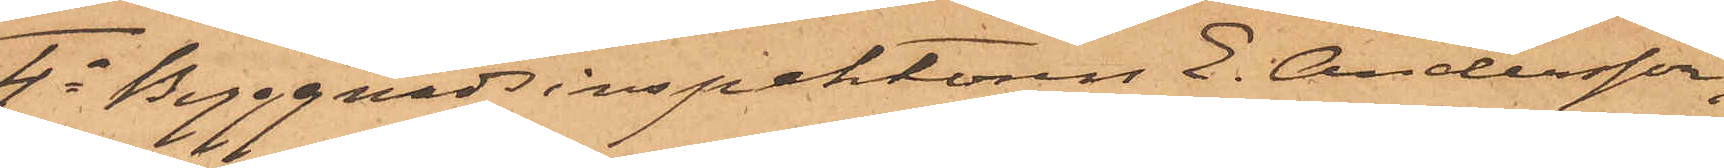4o Byggnads inspektören E. Andersson,
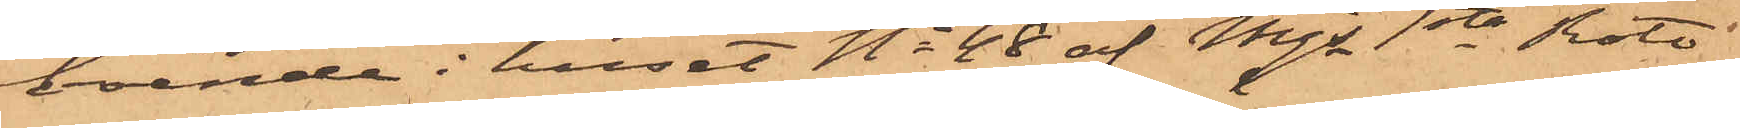boende i huset No 48 af Mjs 1sta Rote
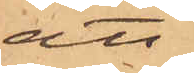att
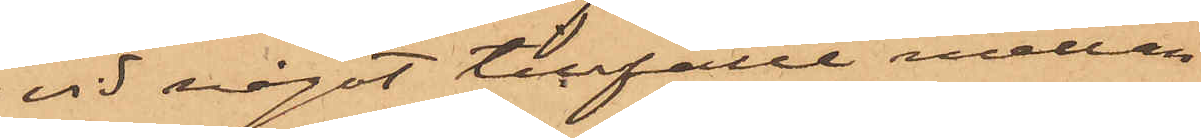vid något tillfälle mellan
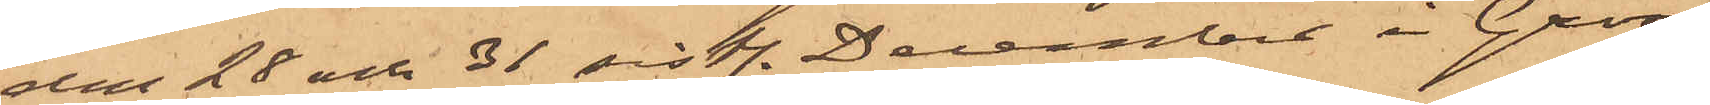den 28 och 31 sistl. December i Gross¬
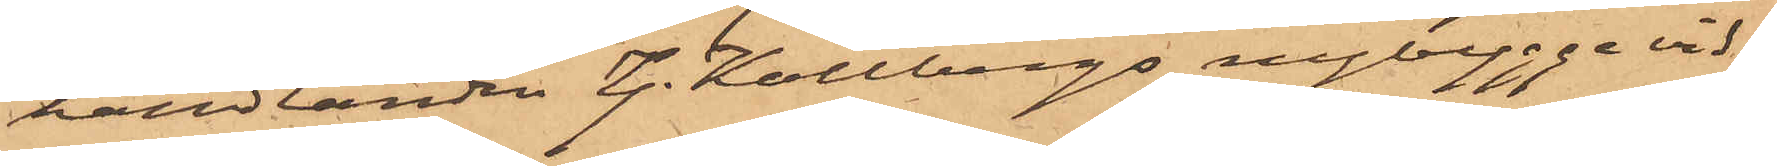handlanden G. Kollbergs nybygge vid
